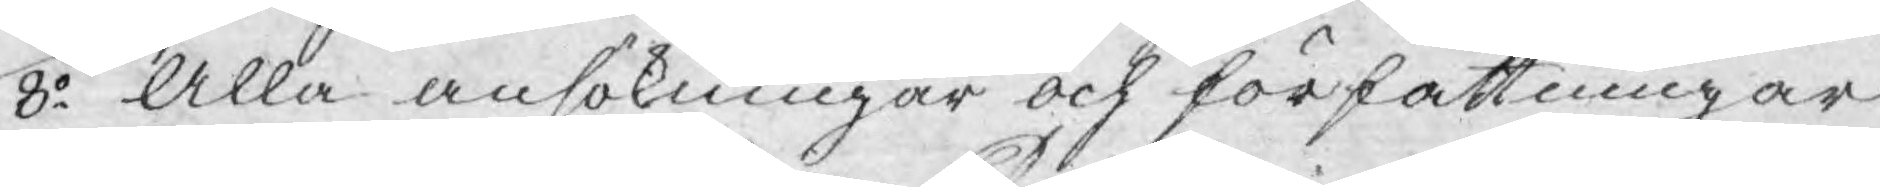8o Alla ansökningar och författningar
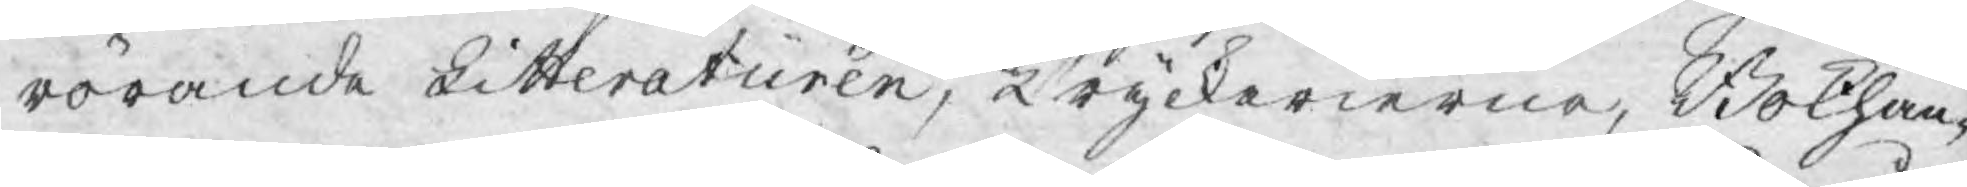rörande Litteraturen, Tryckerierne, Bokhan¬
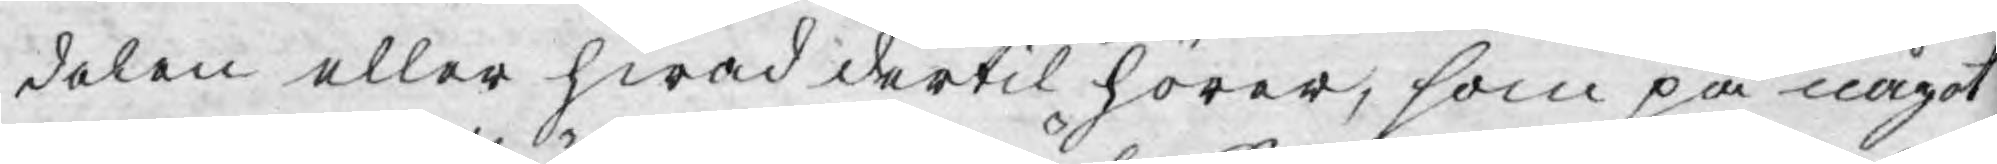delen eller hwad dertil hörer, som på något
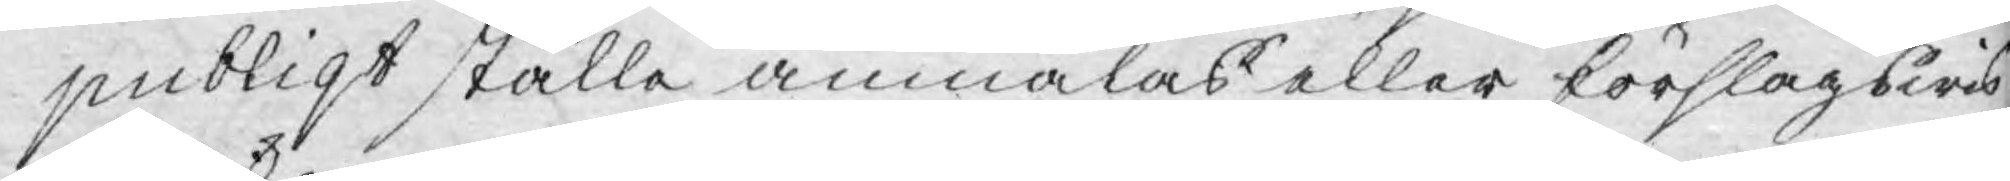publiqt ställe anmälas eller förslagswis
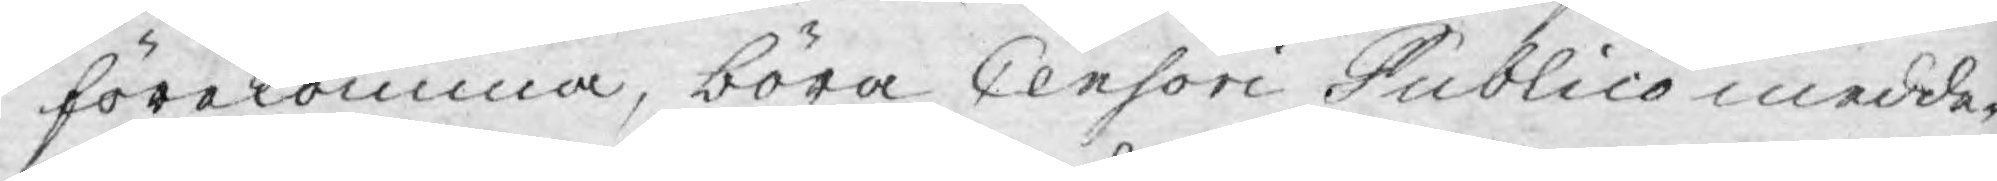förekomma, böra Censori Publico medde¬
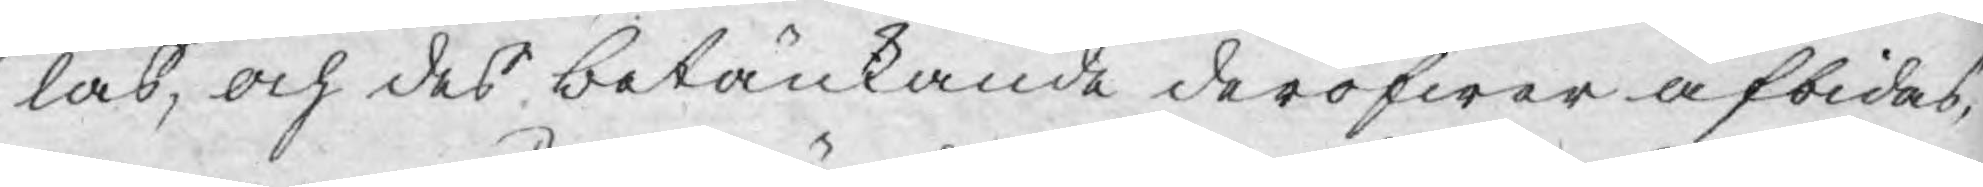las, och des betänkande deröfwer afbidas,
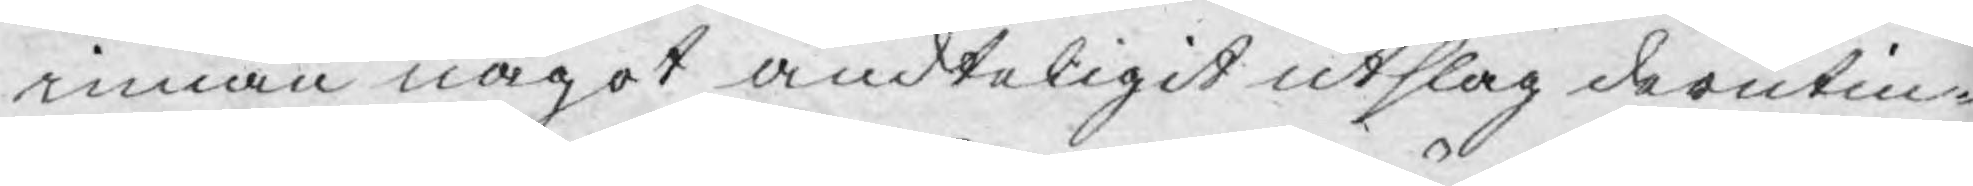innan något ändteligit utslag derutin¬
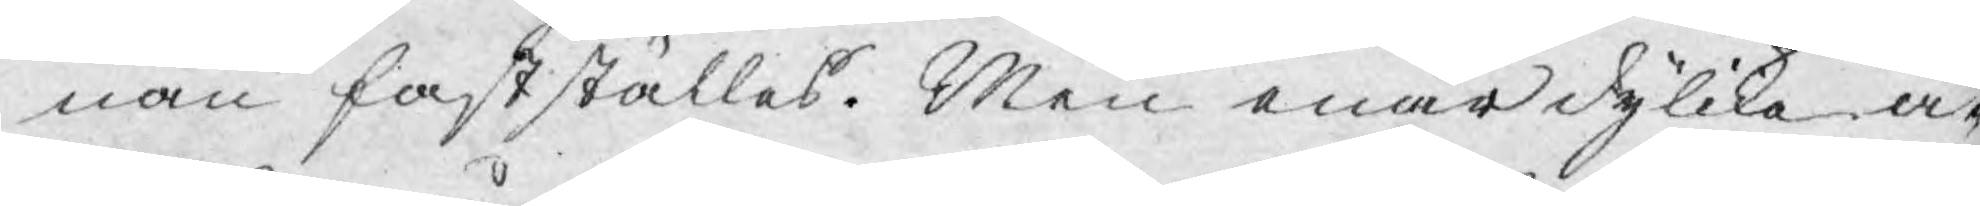nan fastställes. Men enär dylika ä¬
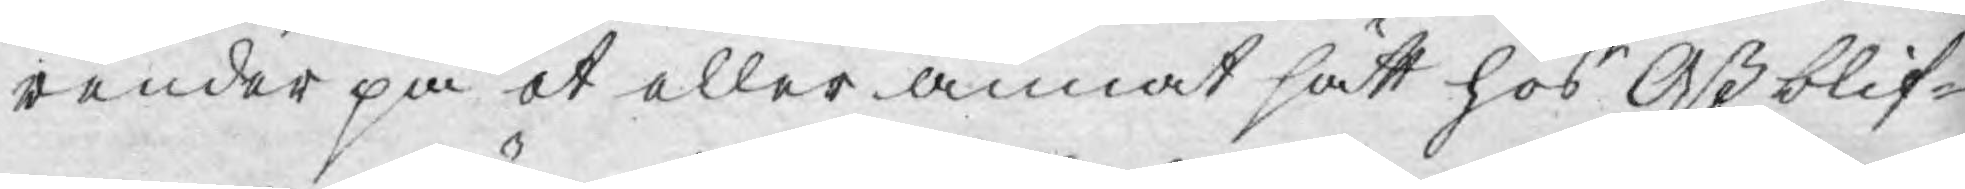render på et eller annat sätt hos Oß blif¬
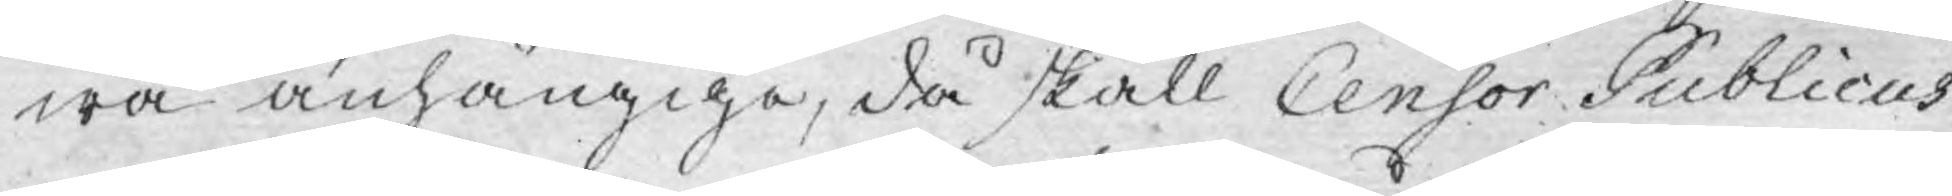wa anhängiga, då skall Censor Publicus
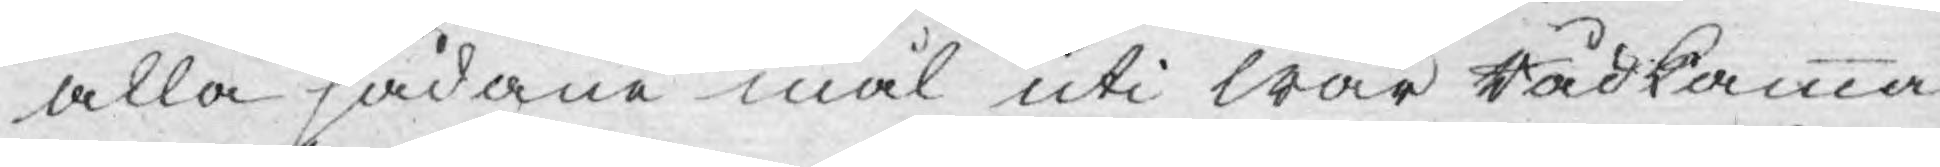alla sådane mål uti wår Rådkamma¬
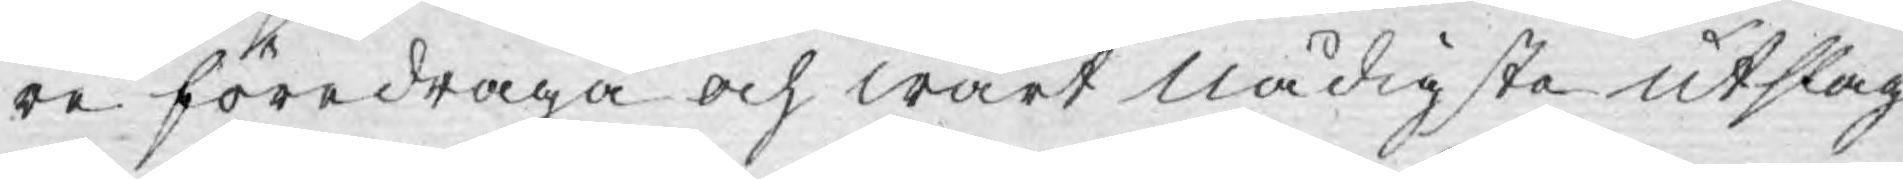re föredraga och wårt nådigste utslag
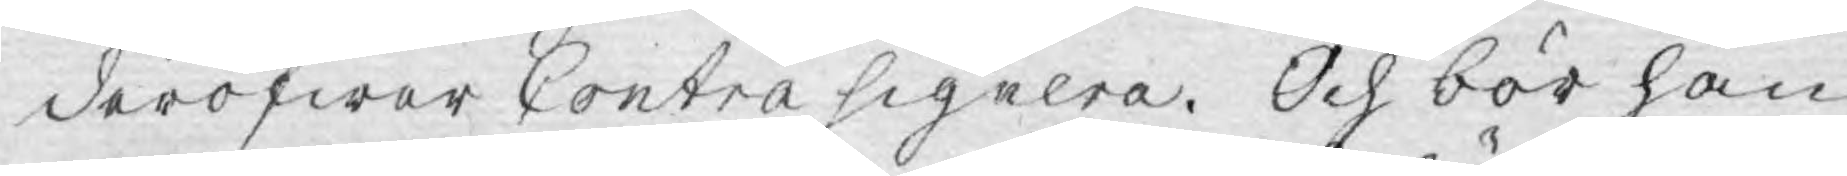deröfwer Contrasignera. Och bör han
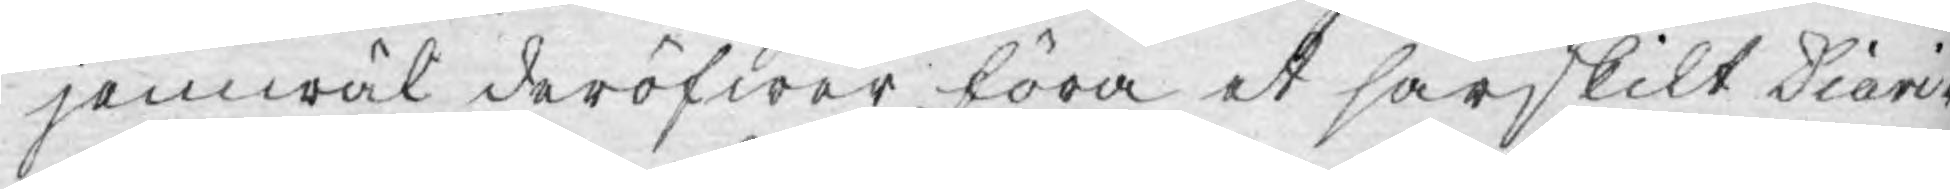jemwäl deröfwer föra et särskilt Diari¬
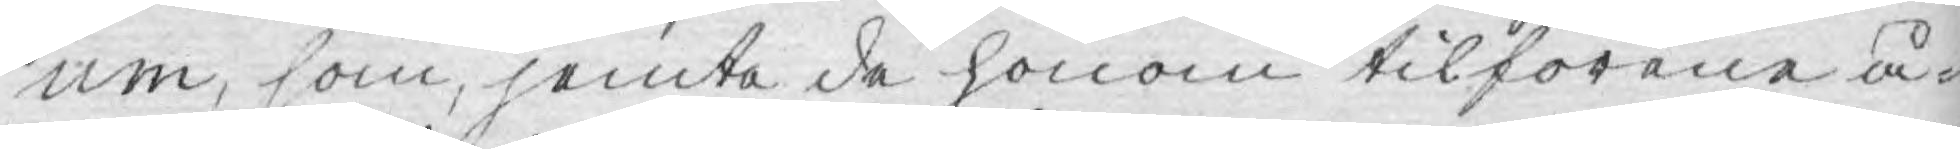um, som, jemte de honom tilförene å¬
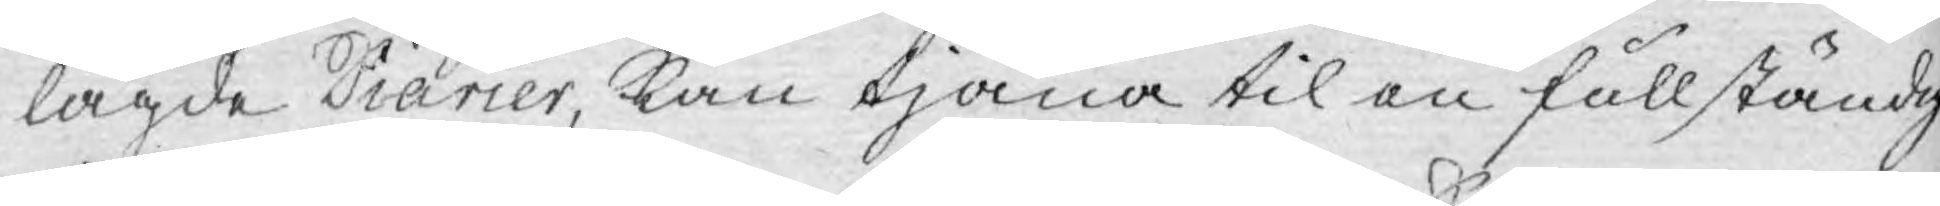lagde Diarier, kan tjäna til en fullständg
